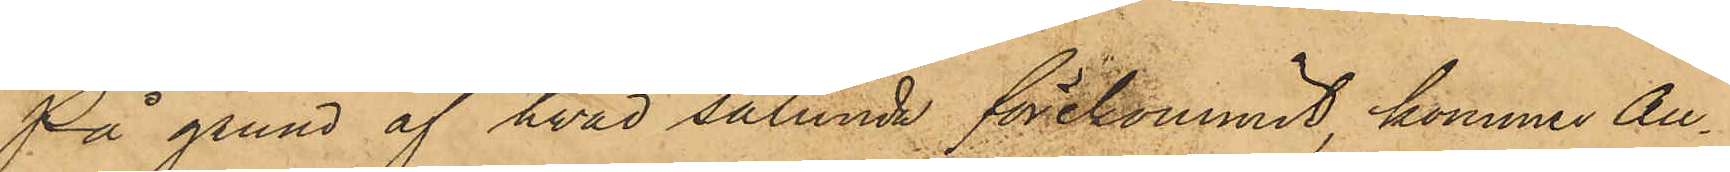På grund af hvad sålunda förekommit, kommer An¬
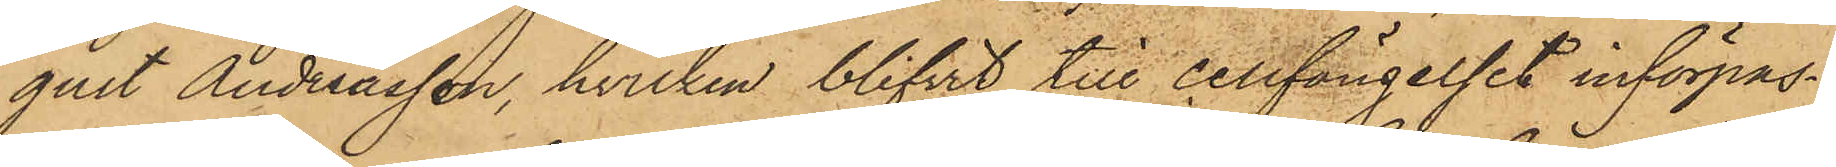gust Andreasson, hvilken blifvit till cellfängelset införpas¬
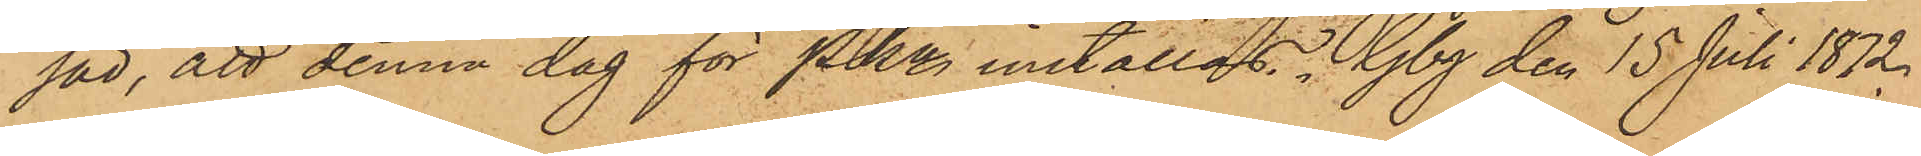sad, att denna dag för PKn inställas. Gbg den 15 Juli 1872.
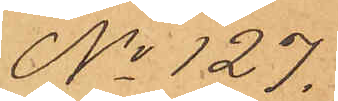No 127.
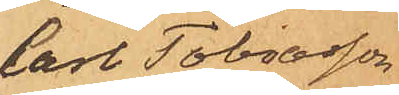Carl Tobiasson
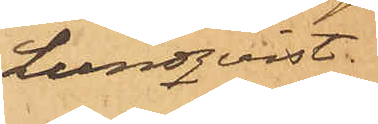Lundqvist.
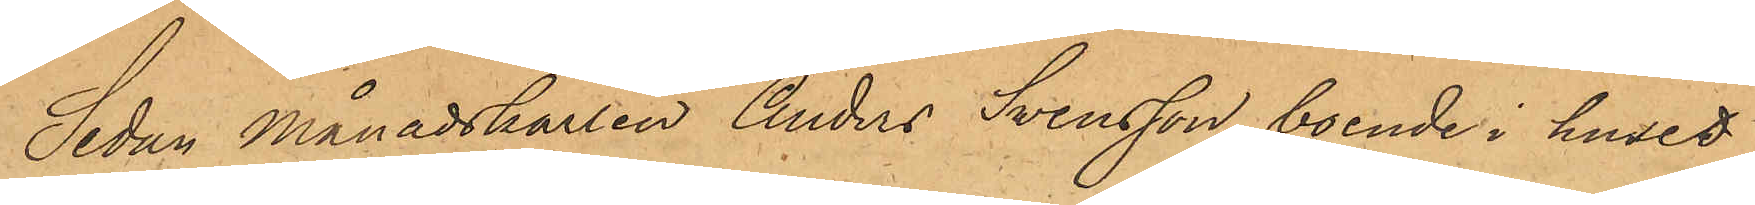Sedan Månadskarlen Anders Svensson, boende i huset
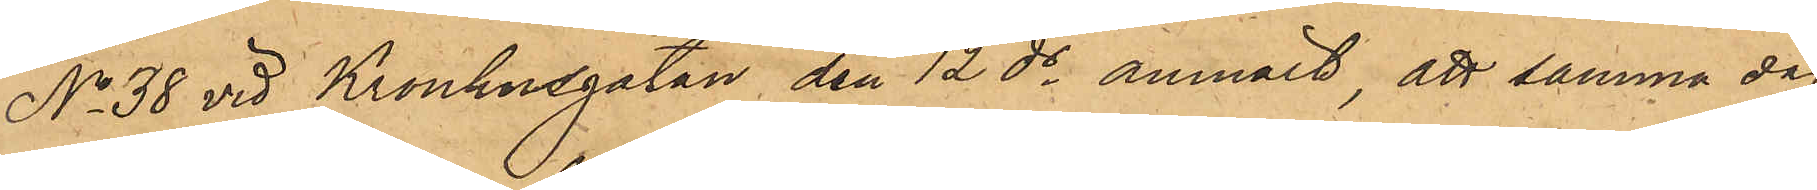No 38 vid Kronhusgatan den 12 ds anmält att samma dag
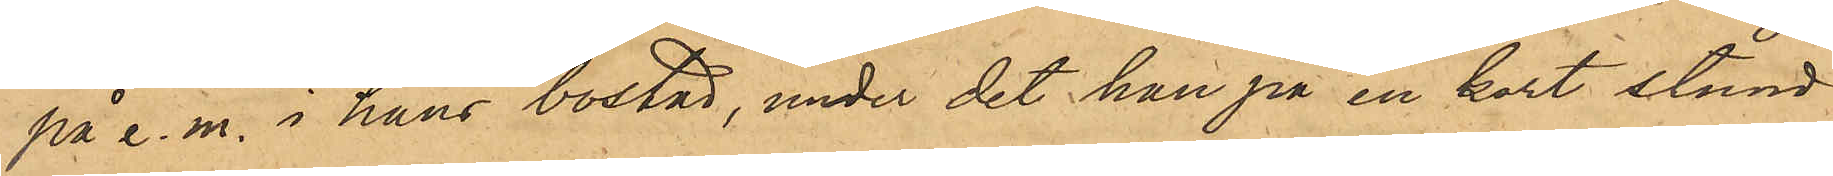på e. m. i hans bostad, under det han på en kort stund
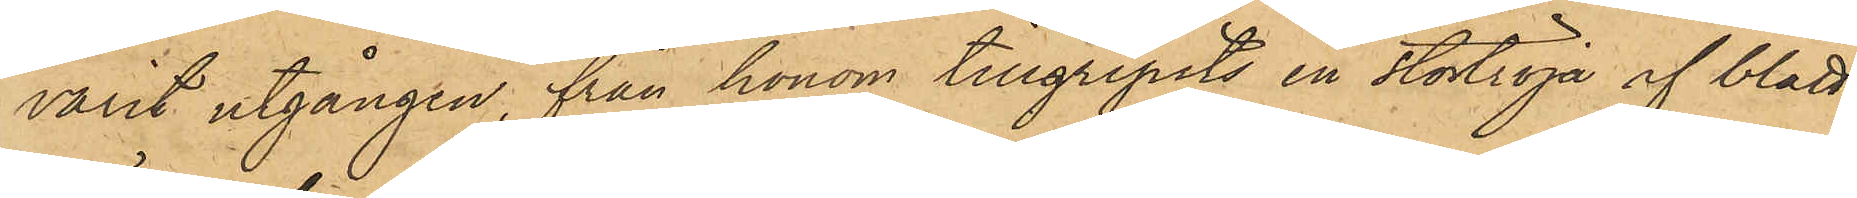varit utgången, från honom tillgripits en stortröja af blått
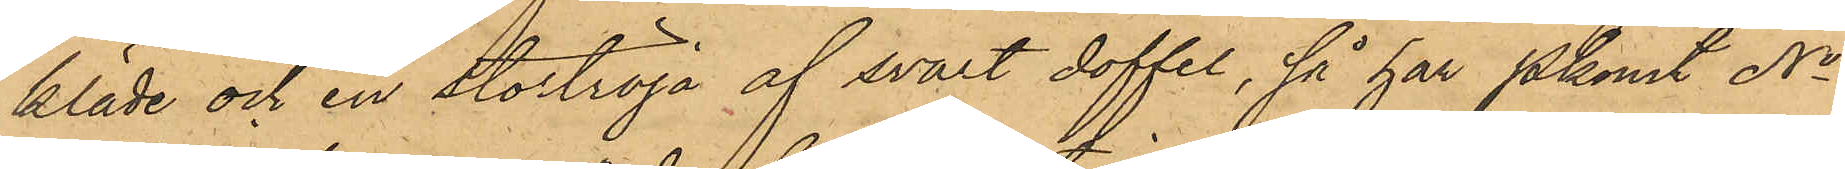kläde och en stortröja af svart doffel, så har Pkonst No
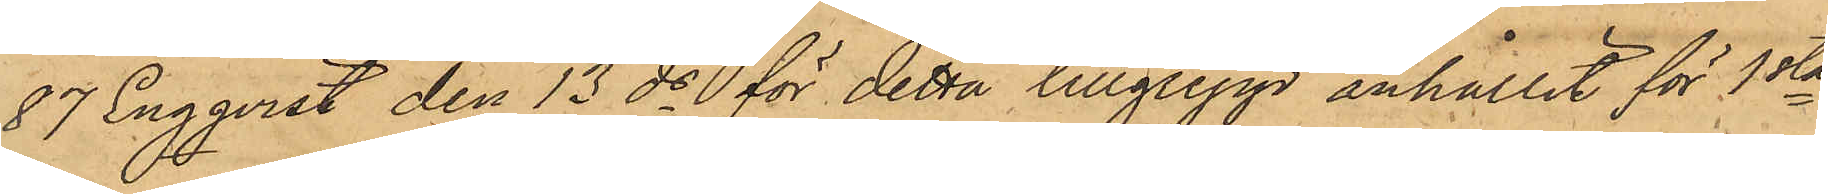87 Engqvist den 13 ds för detta tillgrepp anhållit för 1sta
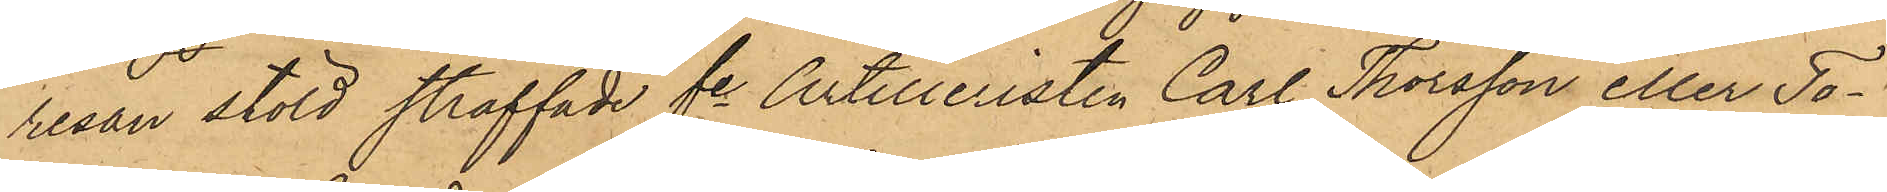resan stöld straffade fe Artilleristen Carl Thorsson eller To¬
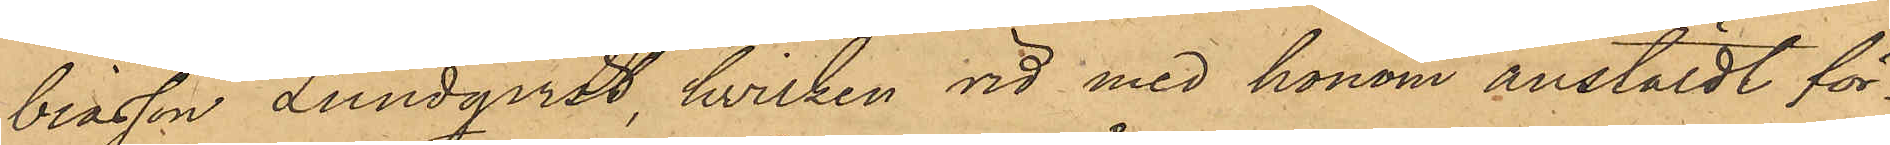biasson Lundqvist, hvilken vid med honom anstäldt för¬
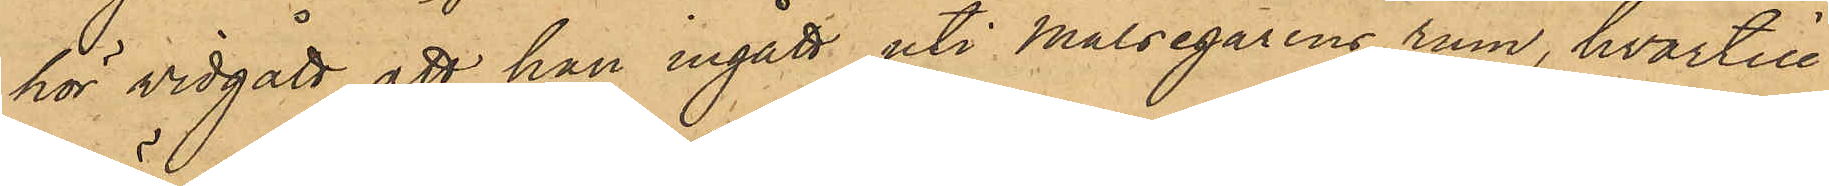hör vidgått, att han ingått uti Målsegarens rum, hvartill
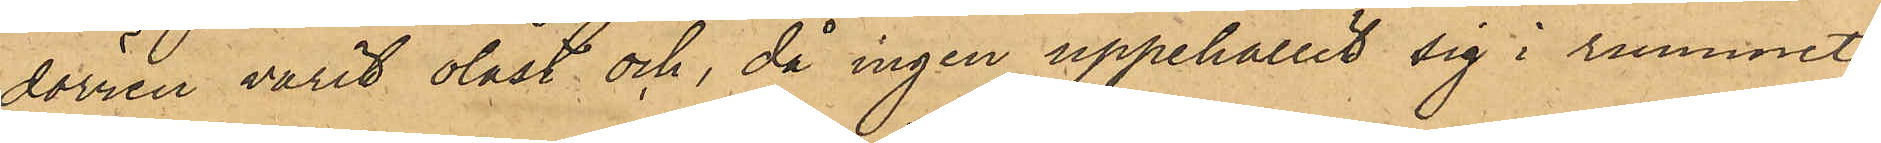dörren varit olåst och, då ingen uppehållit sig i rummet,
